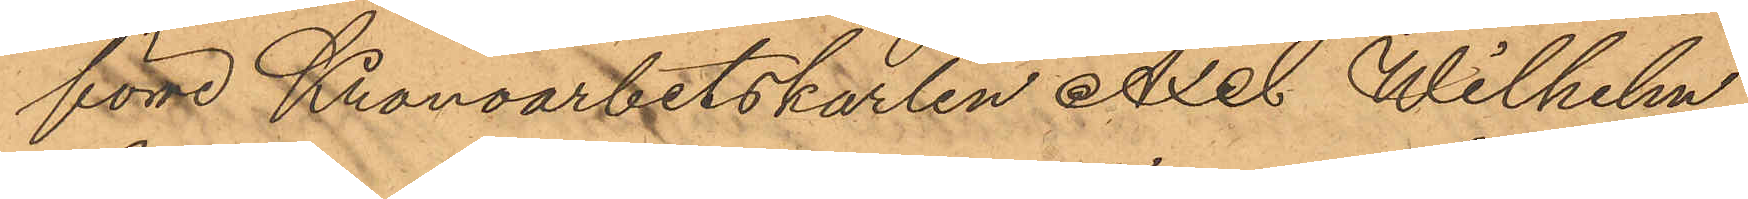före Kronoarbetskarlen Axel Wilhelm
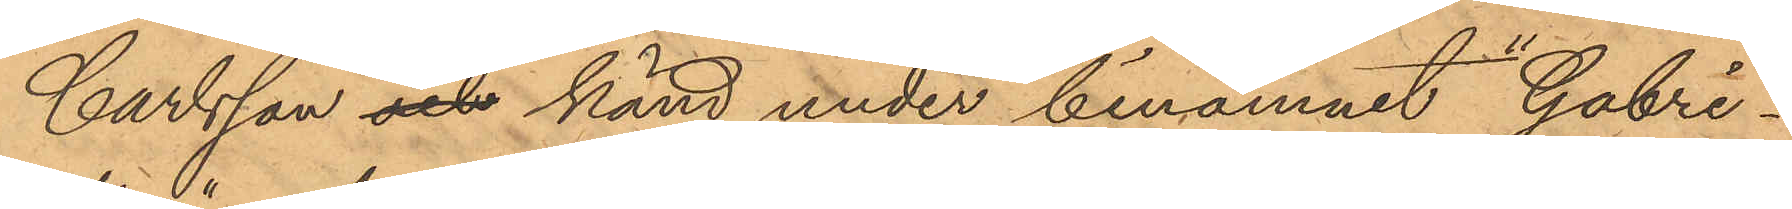Carlsson och känd under binamnet "Gabri¬
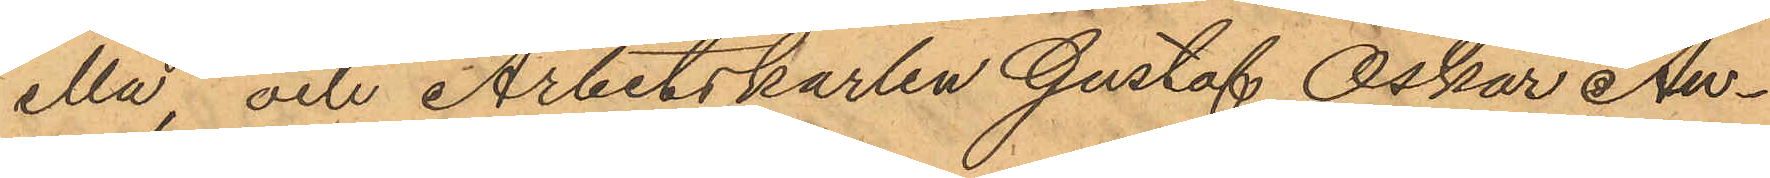ella" och Arbetskarlen Gustaf Oskar An¬
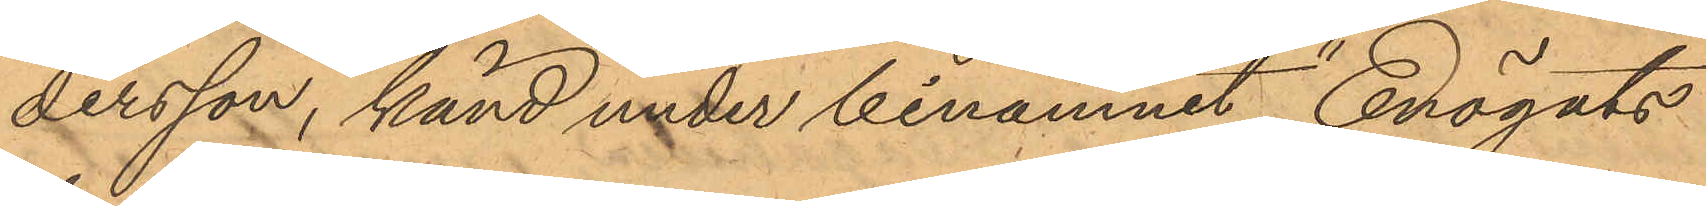dersson, känd under binamnet "Enögats
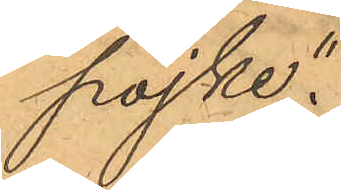pojke".
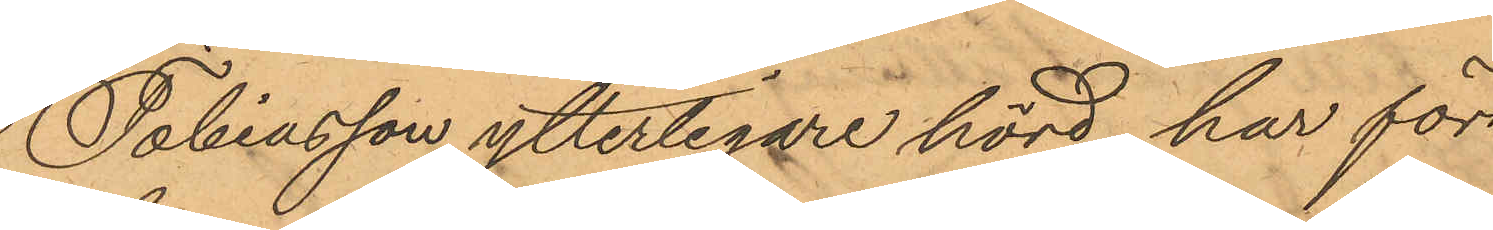Tobiasson ytterligare hörd har för¬
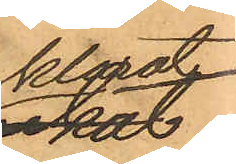klarat
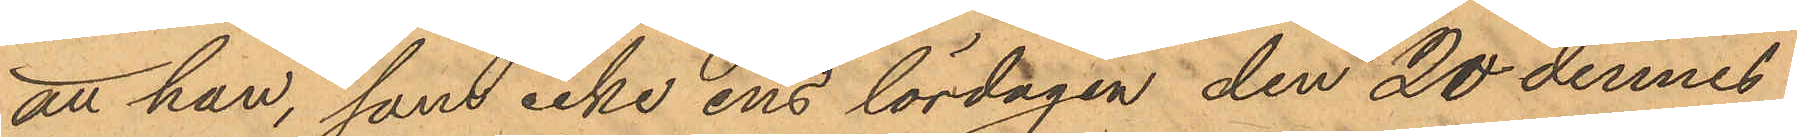att han, som icke ens lördagen den 20 dennes
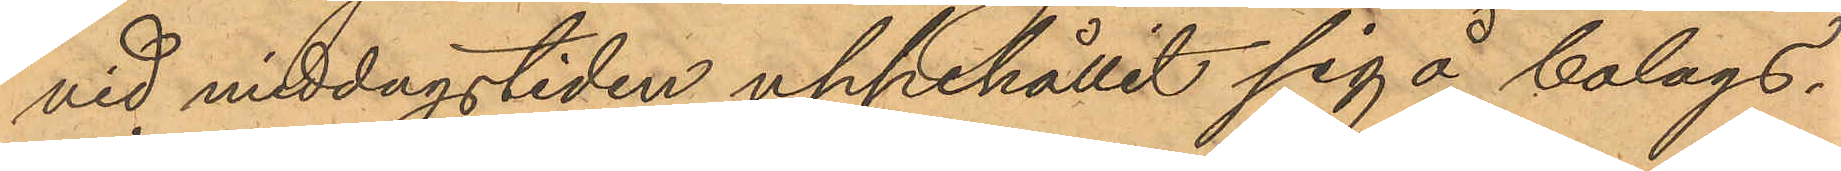vid middagstiden uppehållit sig å bolags¬
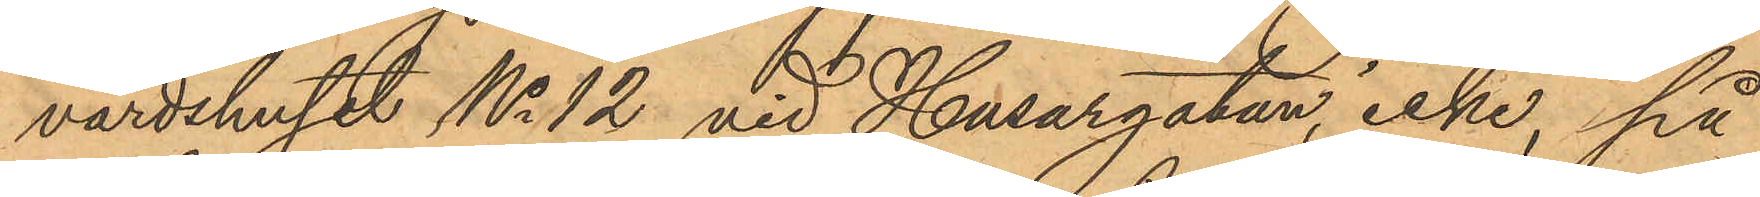värdshuset No 12 vid Husargatan, icke, på
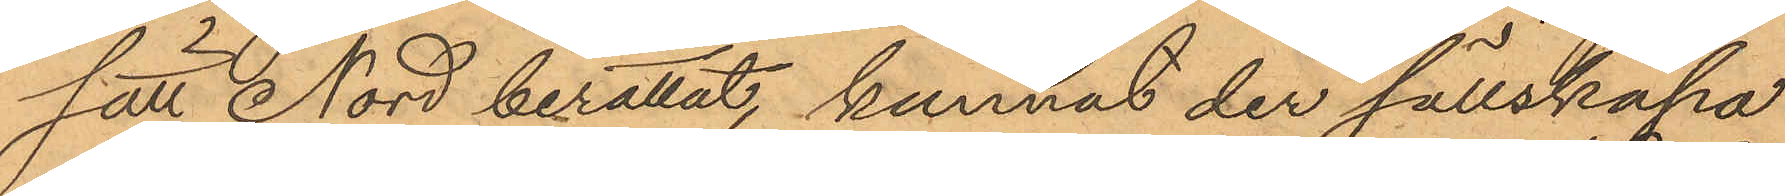sätt Nord berättat, kunnat der sällskapa
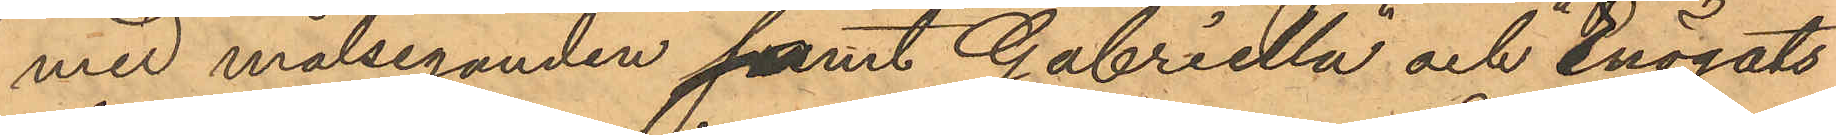med målseganden samt "Gabriella" och "Enögats
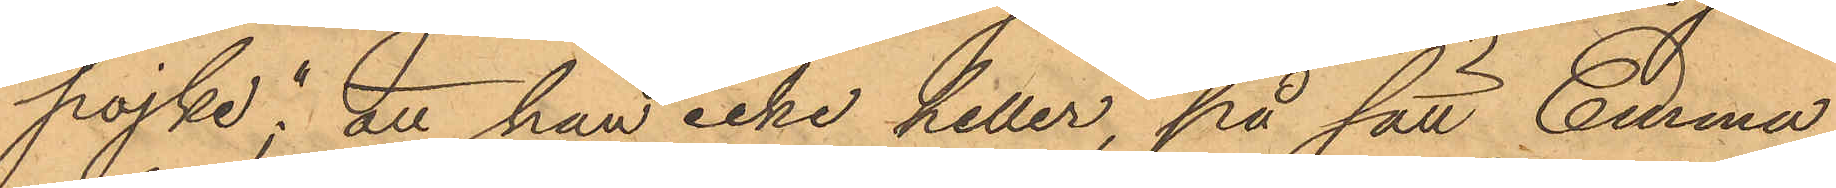pojke"; att han icke heller, på sätt Emma
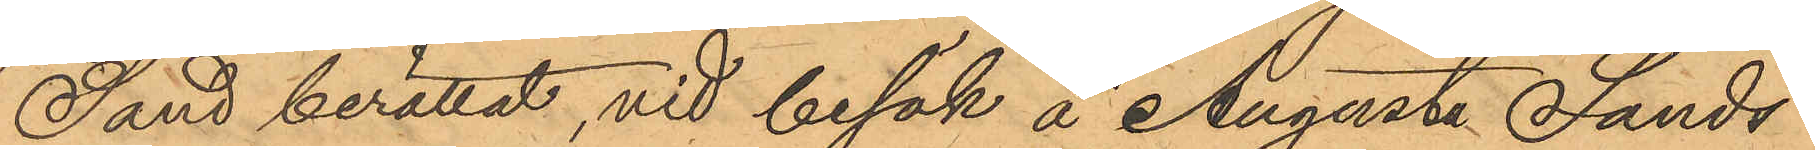Sand berättat, vid besök å Augusta Sands¬
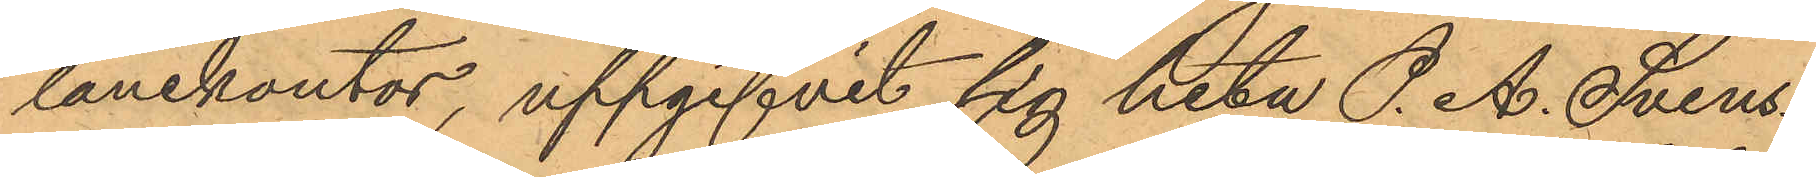lånekontor, uppgifvit sig heta P. A. Svens¬
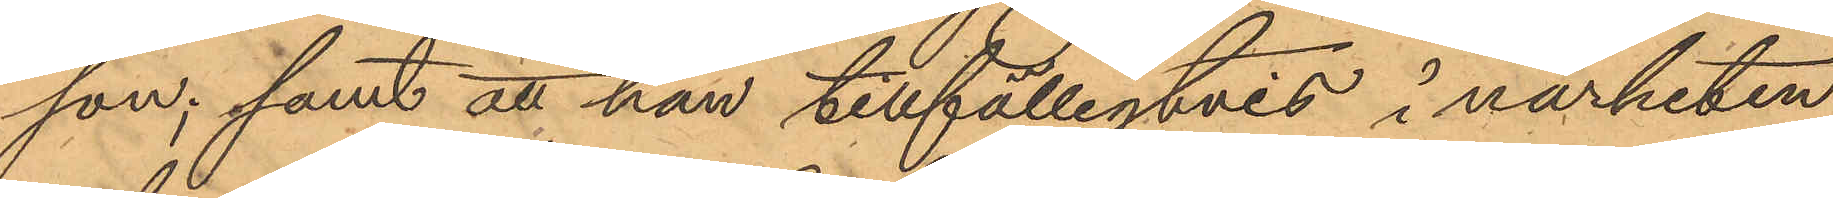son; samt att han tillfälligtvis i närheten
